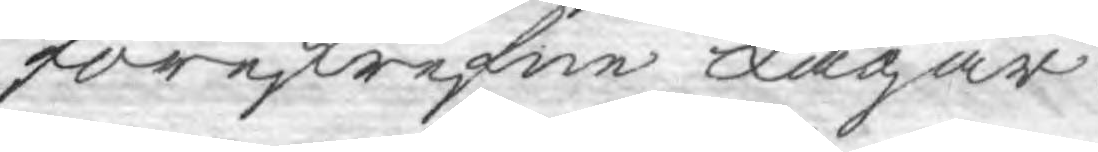föreskrefne Lagar.
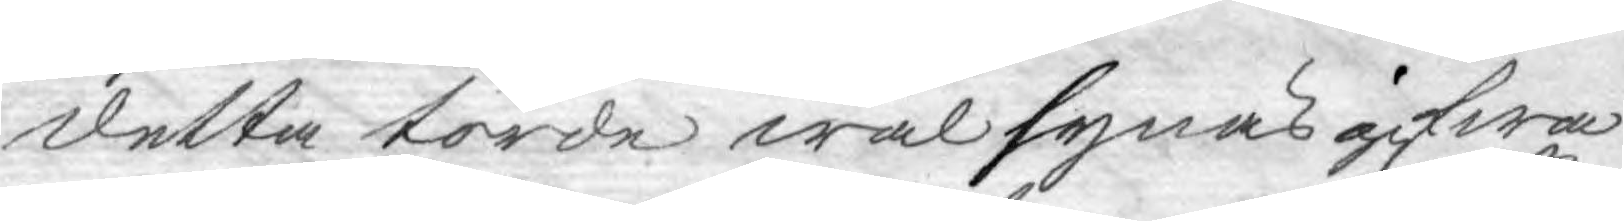detta torde wäl synas gifwa
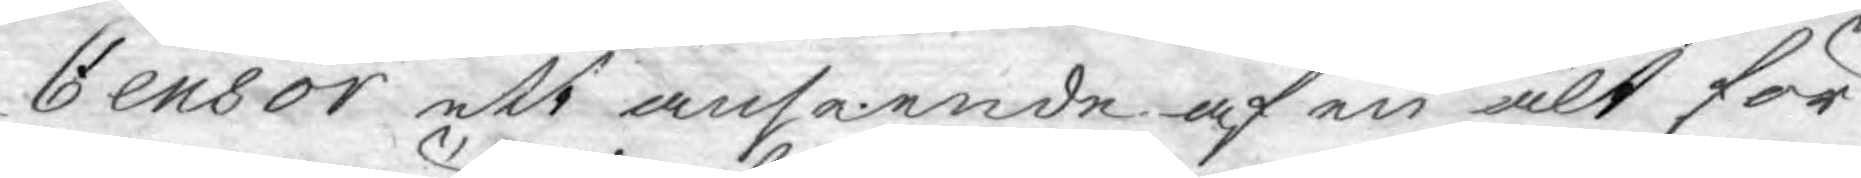Censor ett anseende af en alt för
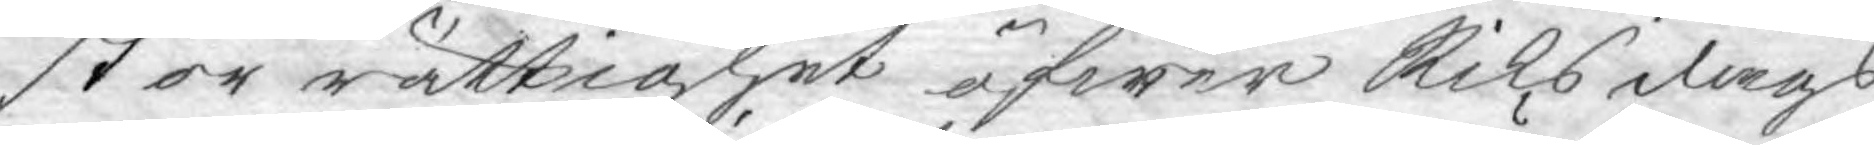stor rättighet öfwer Riksdags
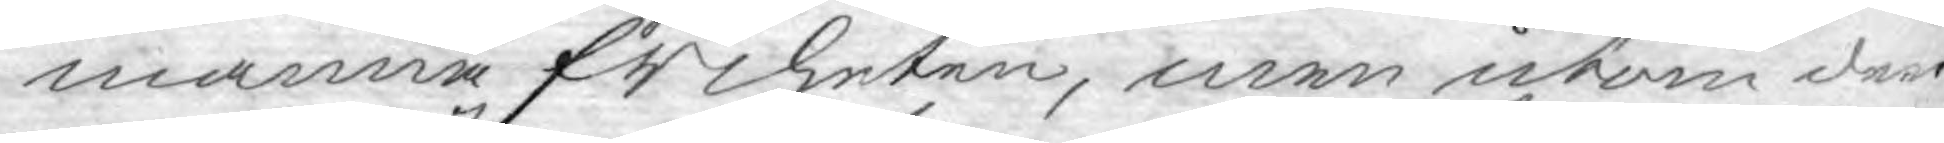manna friheten, men utom den
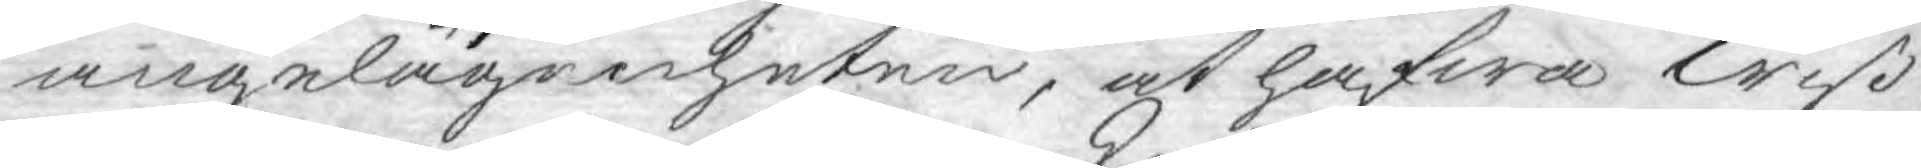angelägenheten, at hafwa wiß¬
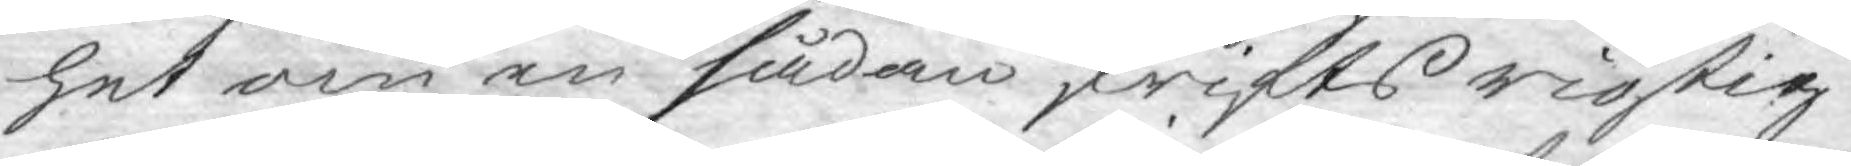het om en sådan skrifts rigtig¬
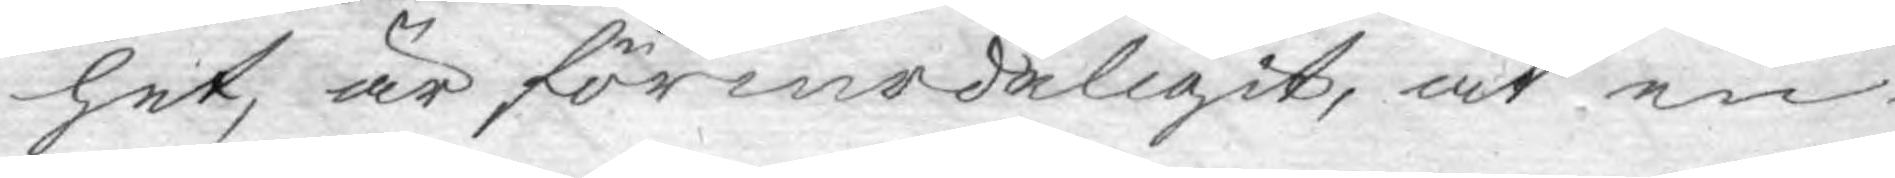het, är förmodeligit, at en
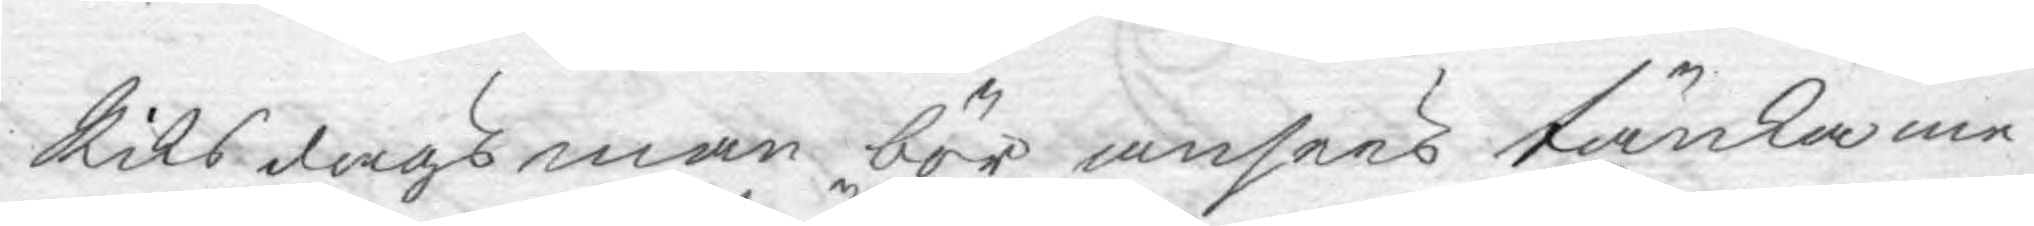Riksdagsman bör ansees tänka me¬
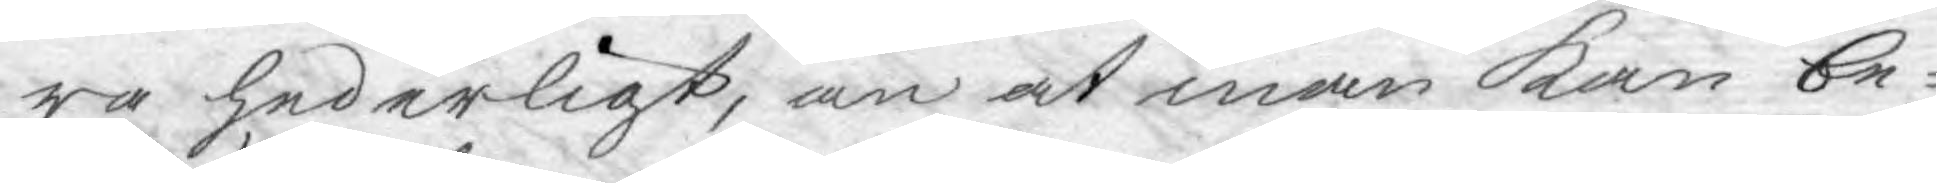ra hederligt, än at man kan be¬
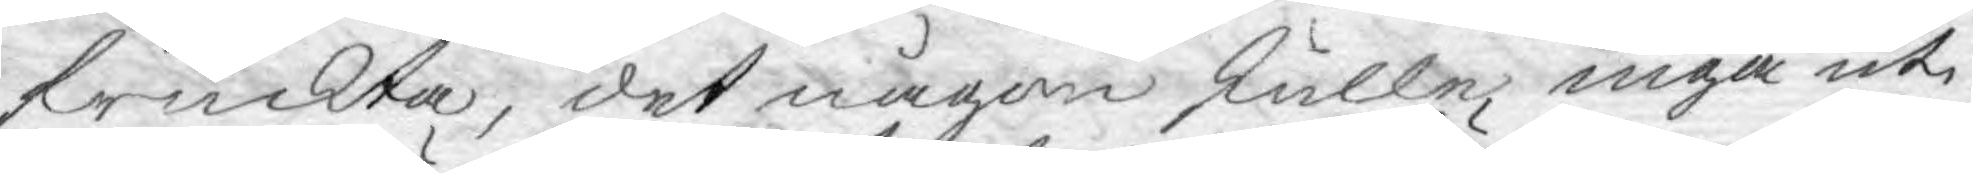fruckta, det någon skulle ingå uti
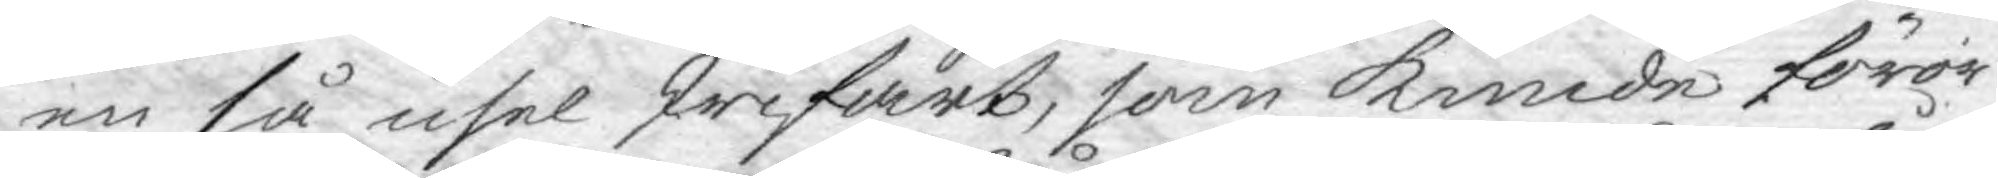en så usel skrifart, som kunde föror¬
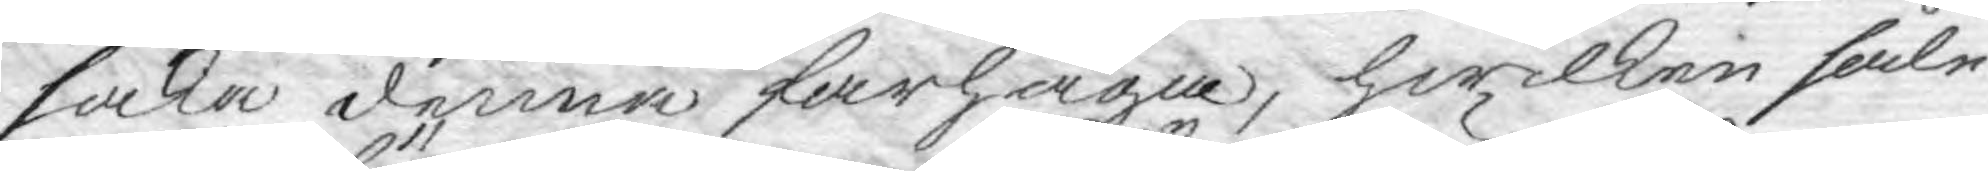saka denna farhåga, hwilken såle¬
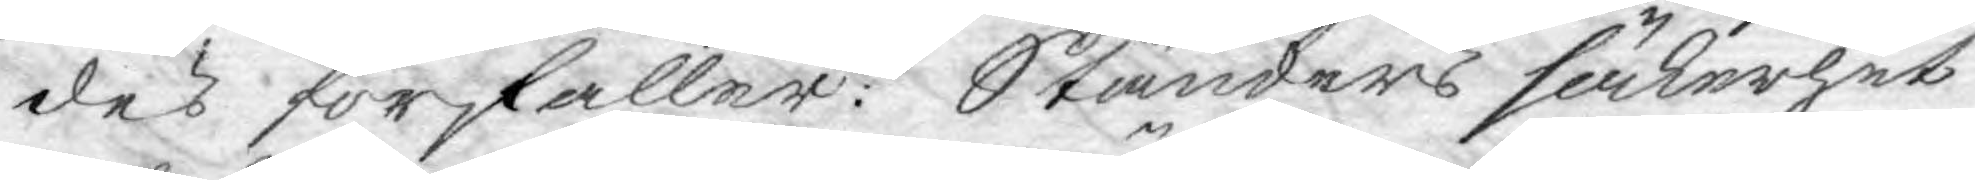des förfaller. Ständers säkerhet
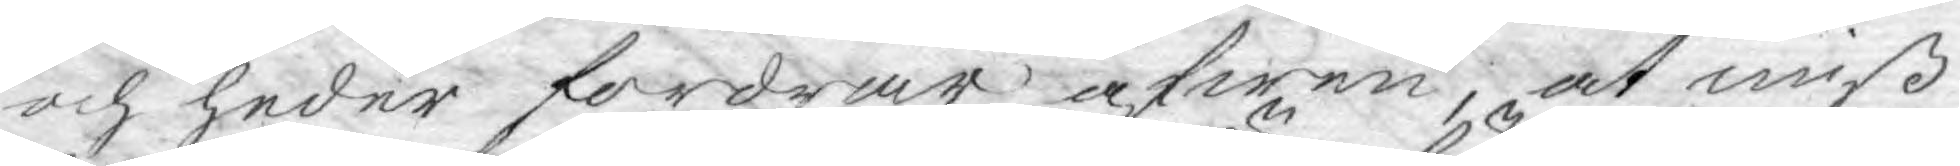och heder fordrar äfwen, at miß¬
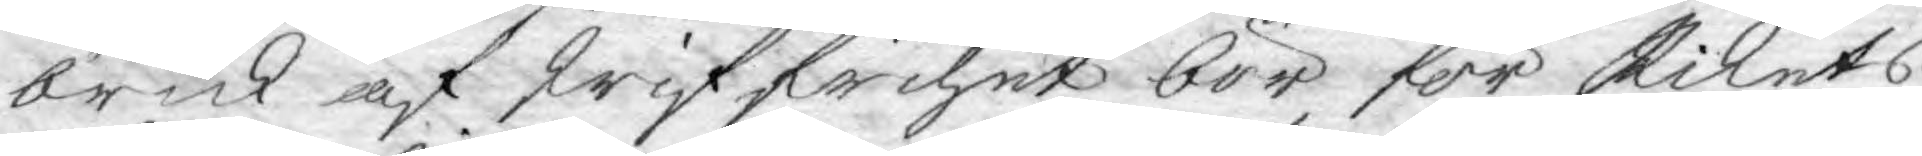bruk af skriffrihet bör för Rikets
